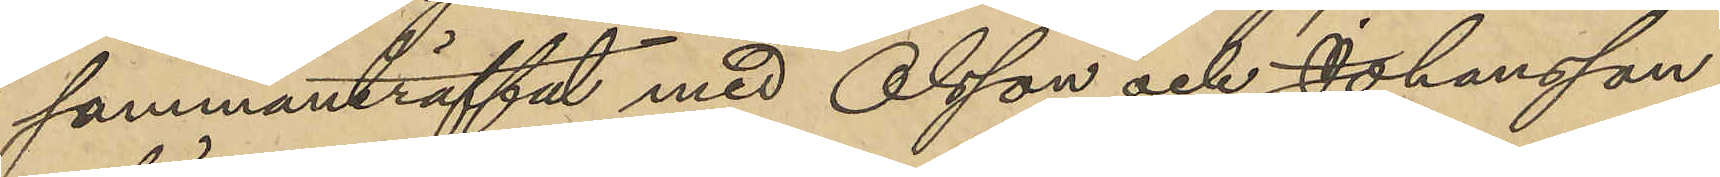sammanträffat med Olsson och Johansson
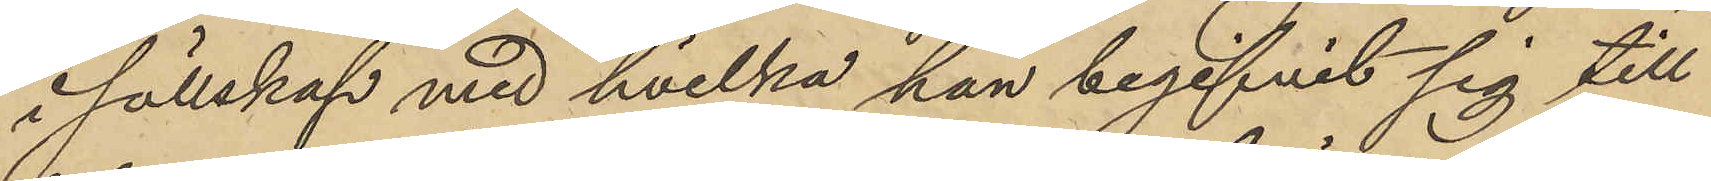i sällskap med hvilka han begifvit sig till
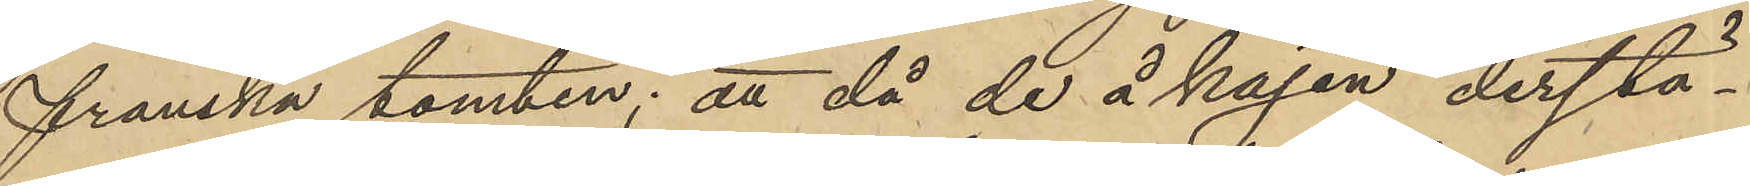franska tomten; att då de å kajen derstä¬
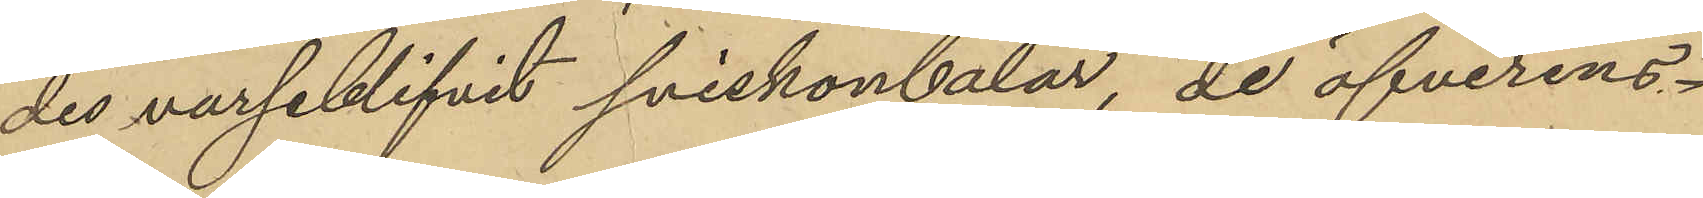des varseblifvit sviskonbalar, de öfverens¬
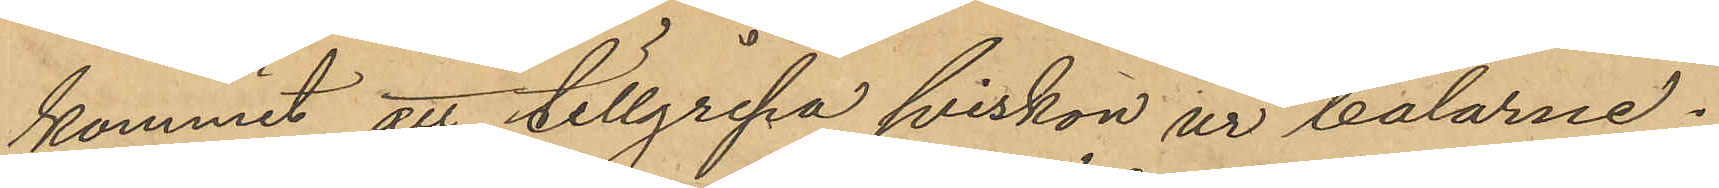kommit att tillgripa sviskon ur balarne;
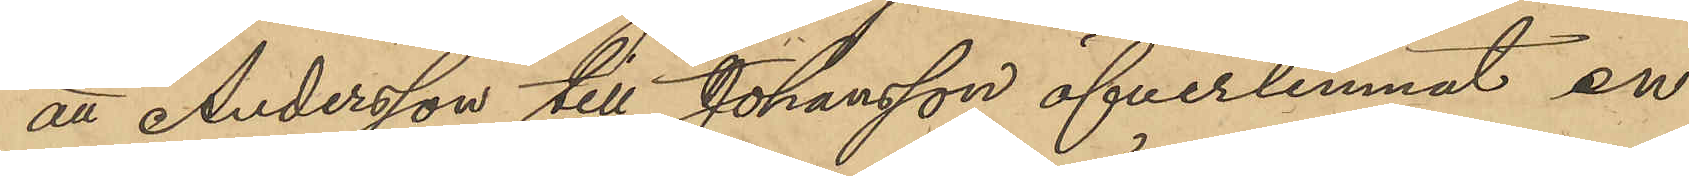att Andersson till Johansson öfverlemnat en
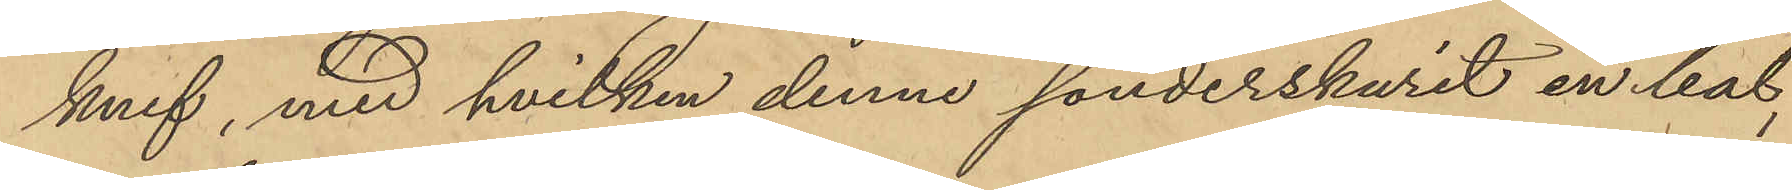knif, med hvilken denne sönderskurit en bal,
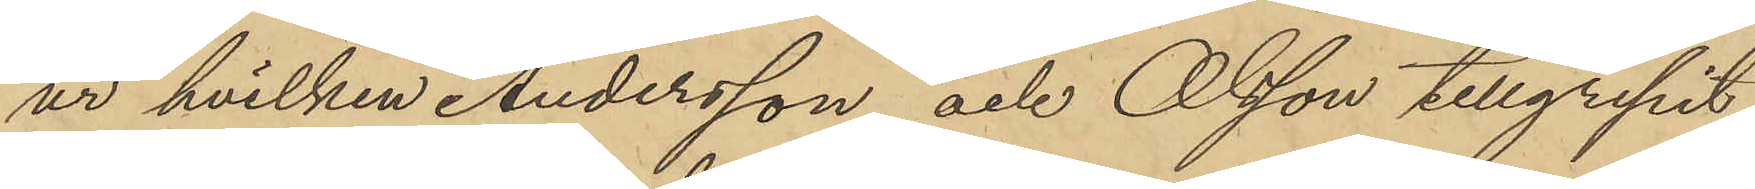ur hvilken Andersson och Olsson tillgripit
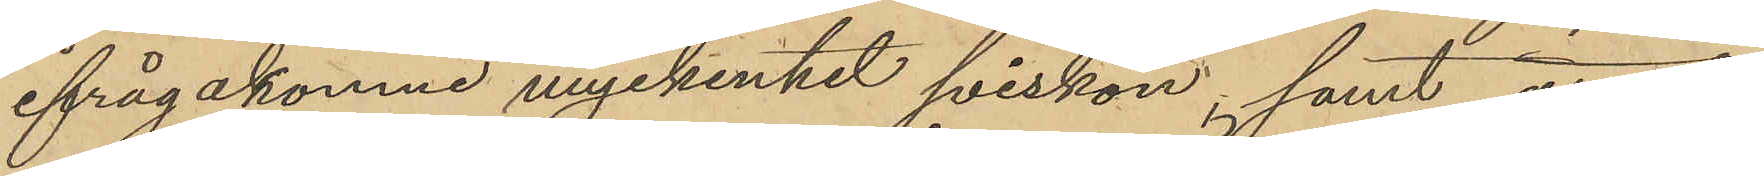ifrågakomne myckenhet sviskon; samt
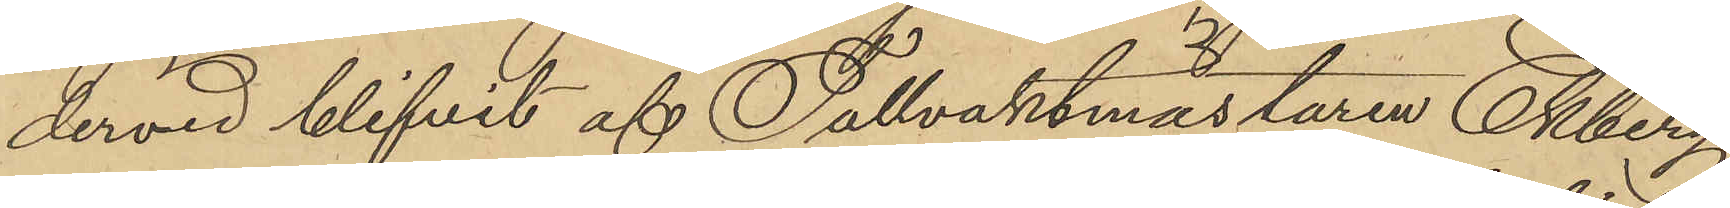dervid blifvit af Tullvaktmästaren Ekberg
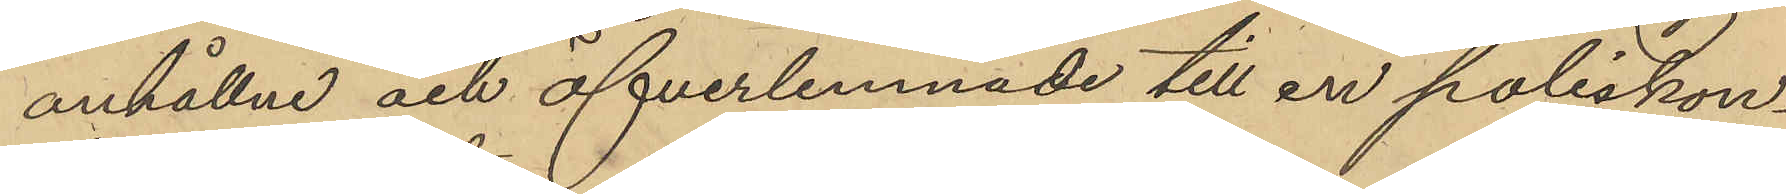anhållne och öfverlemnade till en poliskon¬
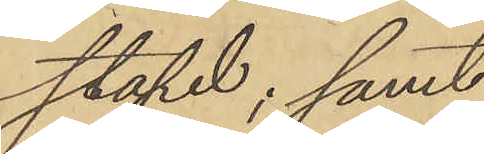stapel; samt
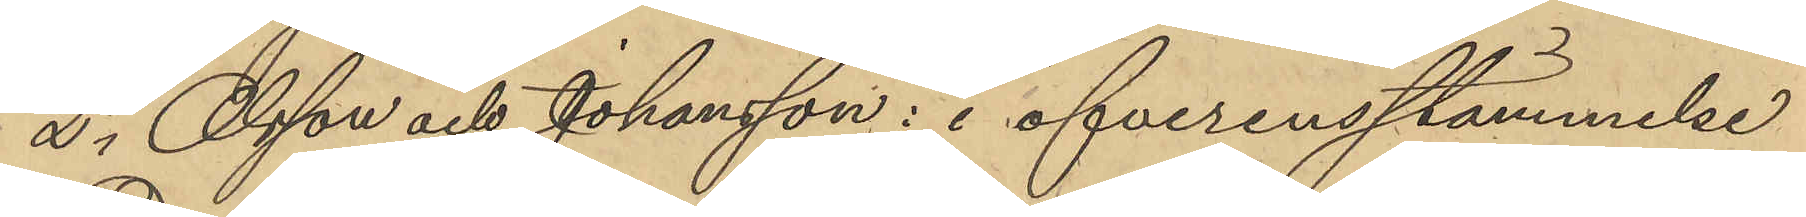2o Olsson och Johansson: i öfverensstämmelse
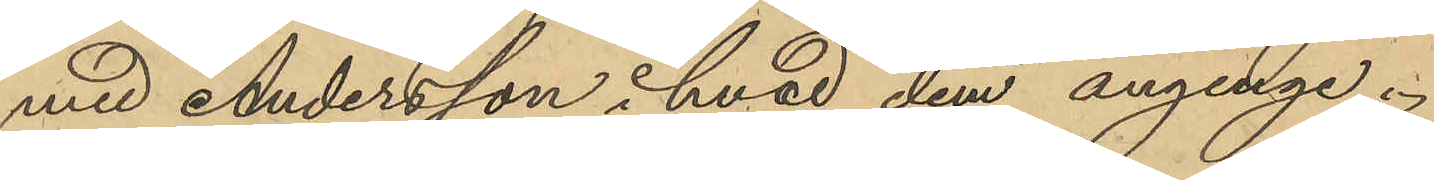med Andersson hvad dem anginge.
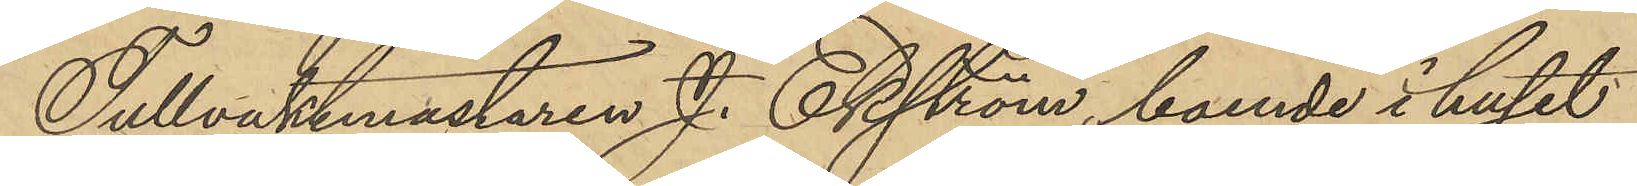Tullvaktmästaren J. Ekström, boende i huset
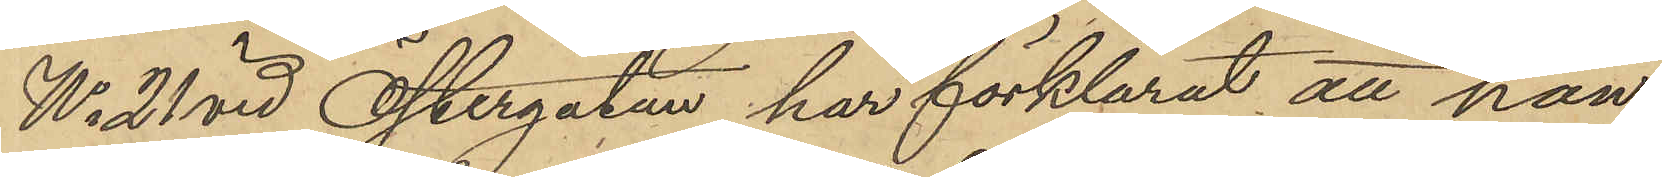No 21 vid Östergatan, har förklarat att han
